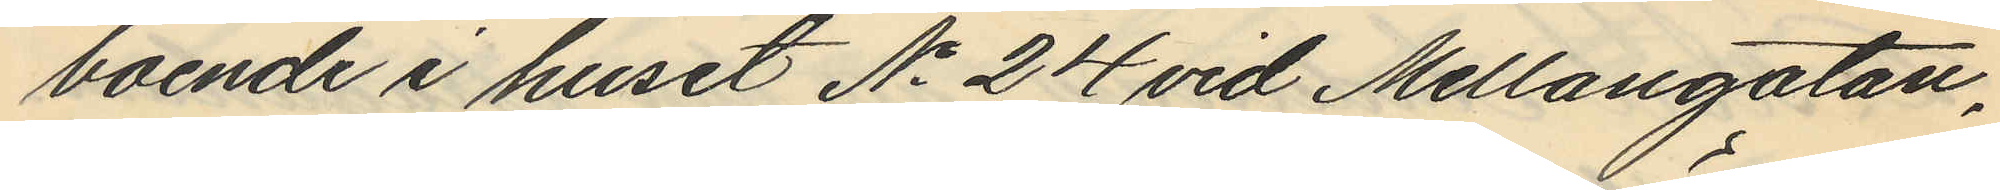boende i huset No 24 vid Mellangatan,
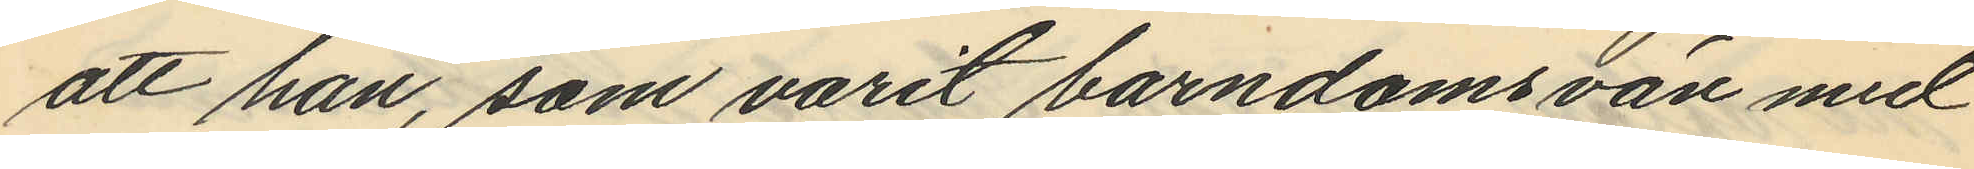att han, som varit barndomsvän med
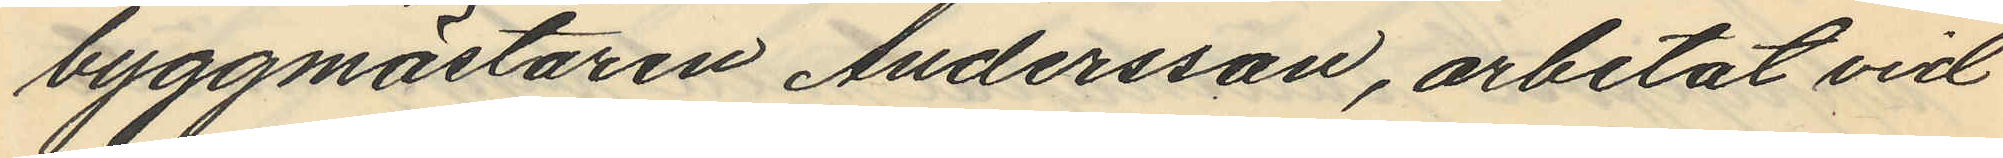byggmästaren Andersson, arbetat vid
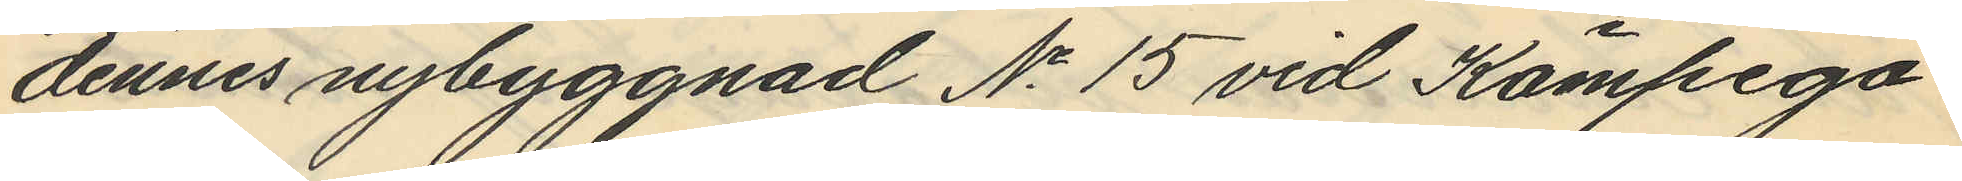dennes nybyggnad No 15 vid Kämpega¬
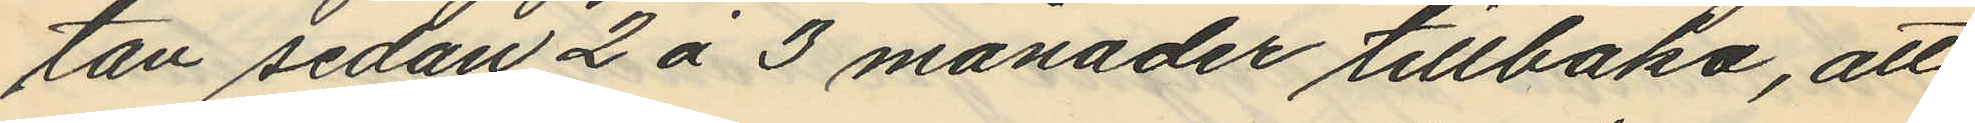tan sedan 2 á 3 månader tillbaka, att
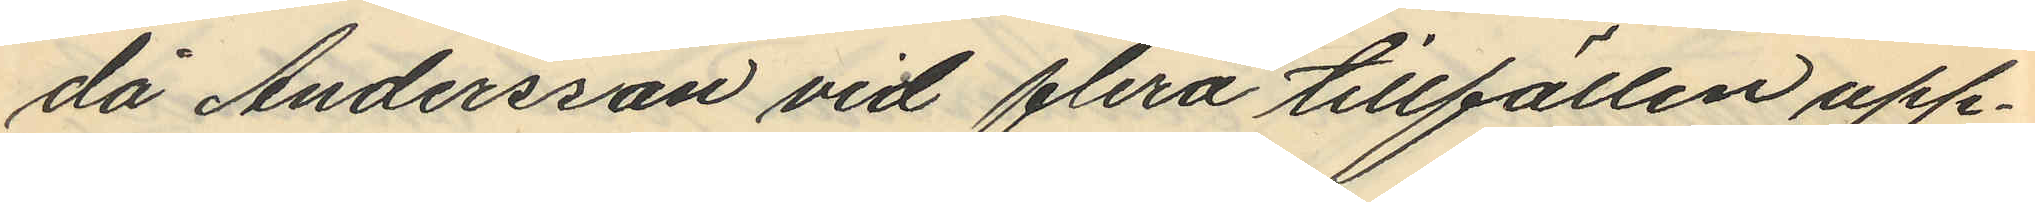då Andersson vid flera tillfällen upp¬
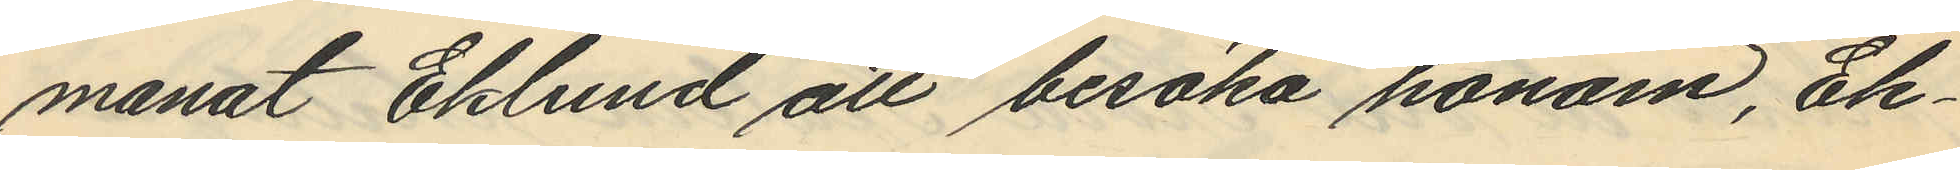manat Eklund att besöka honom, Ek¬
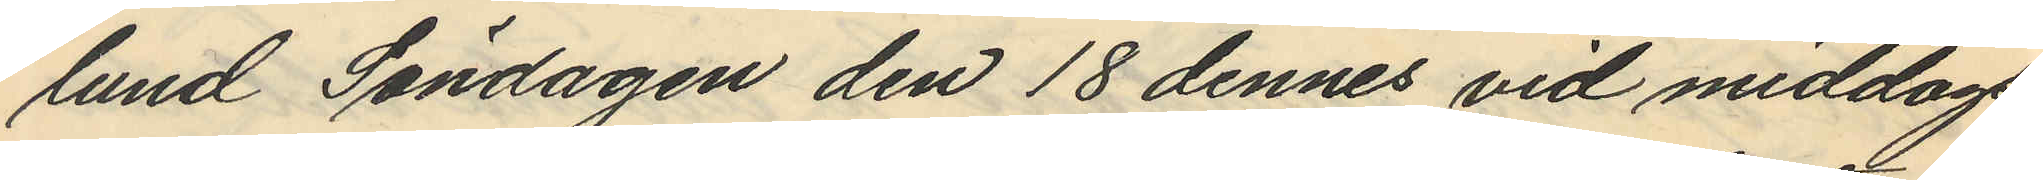lund Söndagen den 18 dennes vid middags
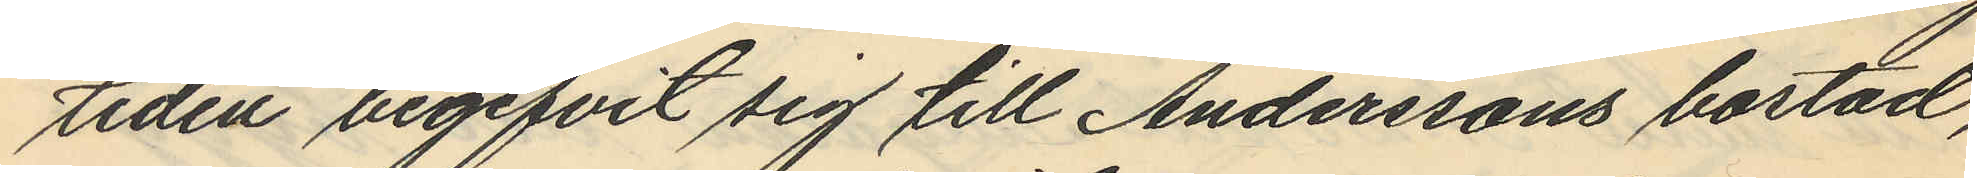tiden begifvit sig till Anderssons bostad,
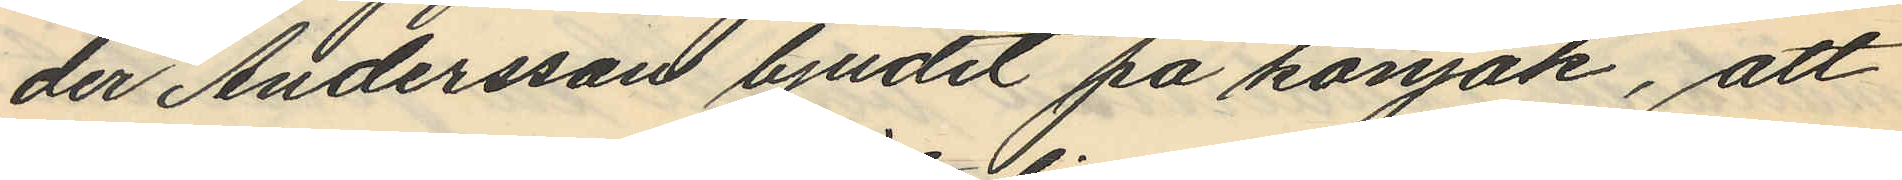der Andersson bjudit på konjak, att
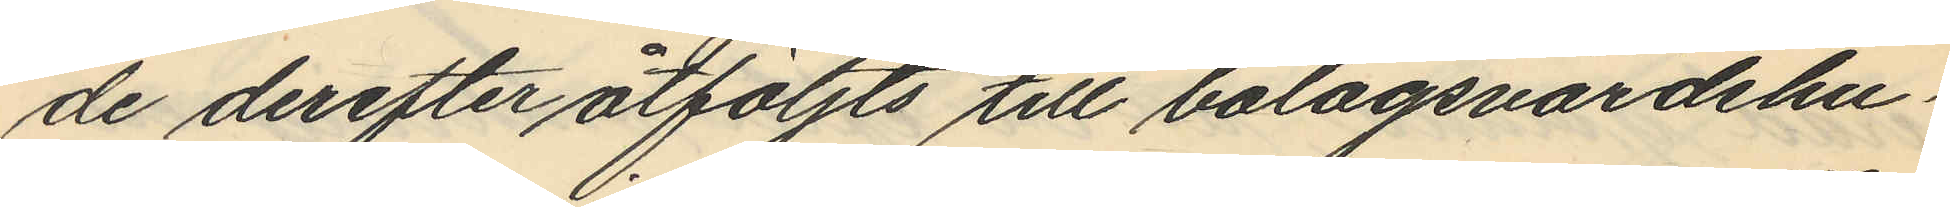de derefter åtföljts till bolagsvärdshu¬
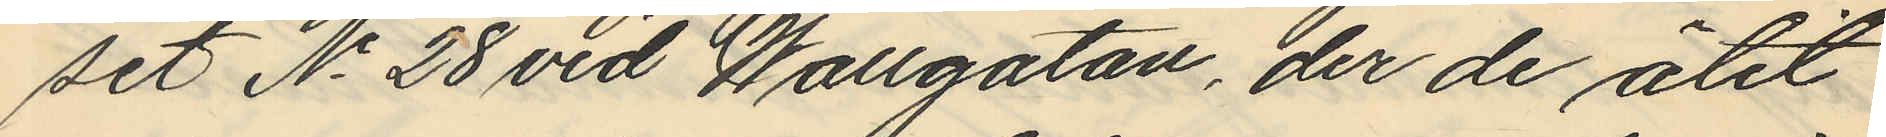set No 28 vid Wallgatan, der de ätit
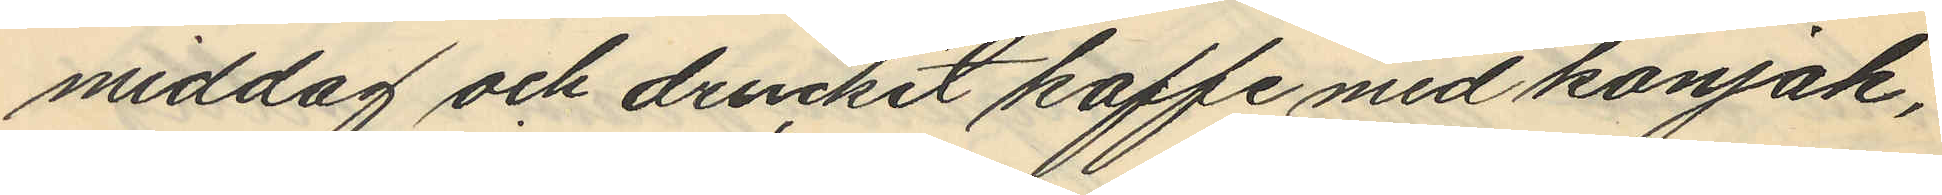middag och druckit kaffe med konjak,
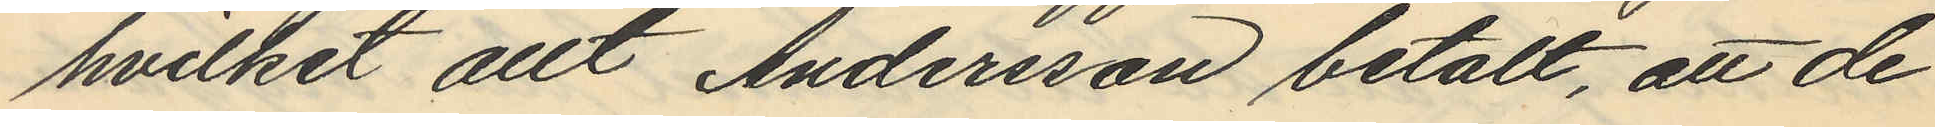hvilket allt Andersson betalt, att de
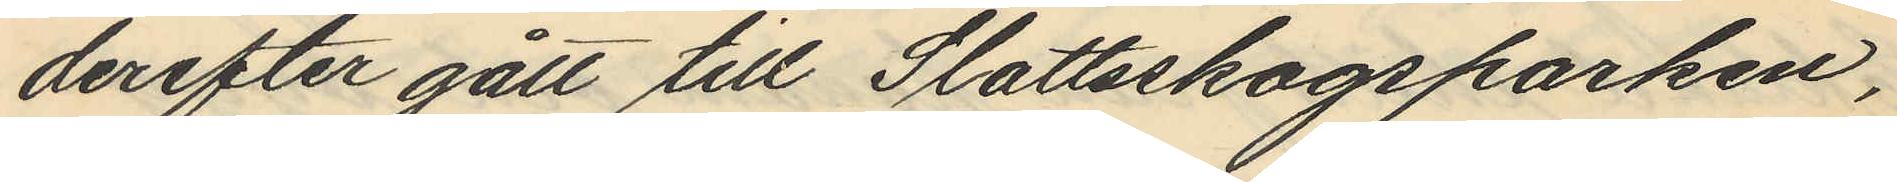derefter gått till Slottsskogsparken,
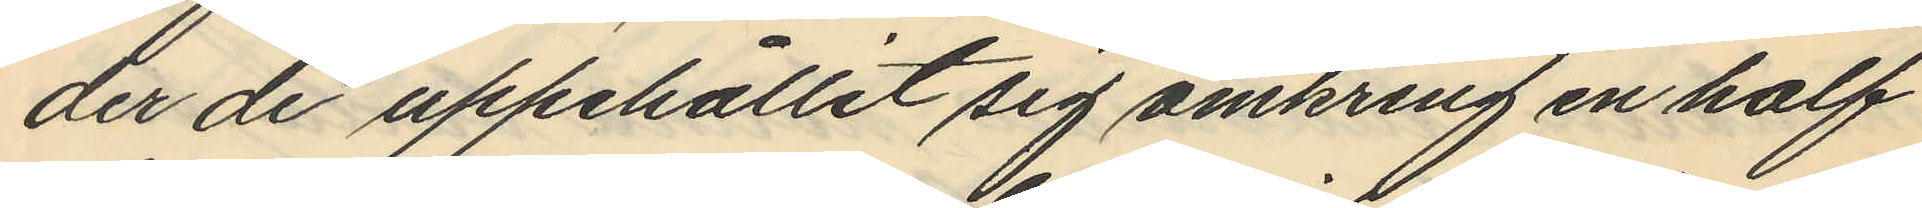der de uppehållit sig omkring en half
